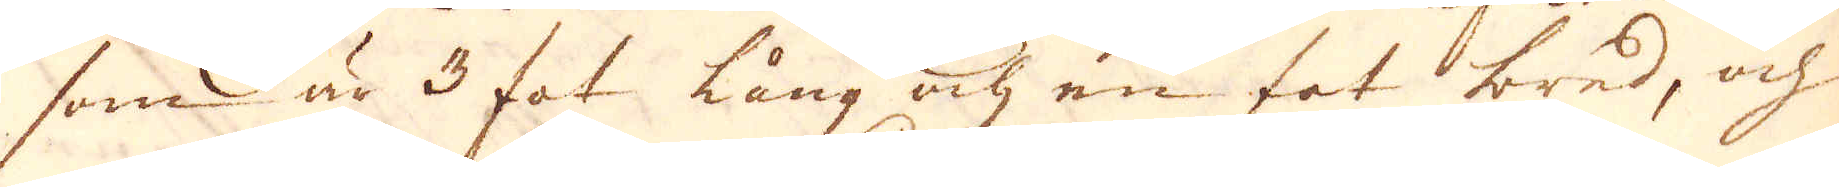som är 3 fot lång ock en fot bred, och
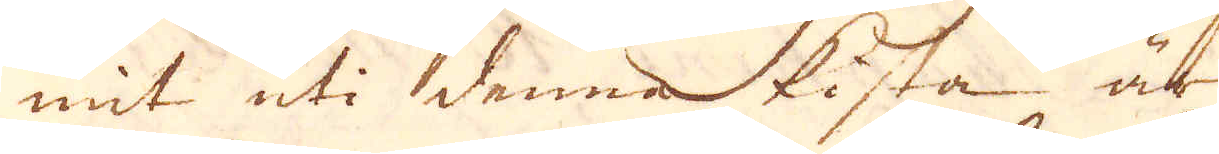mit uti denna kista är
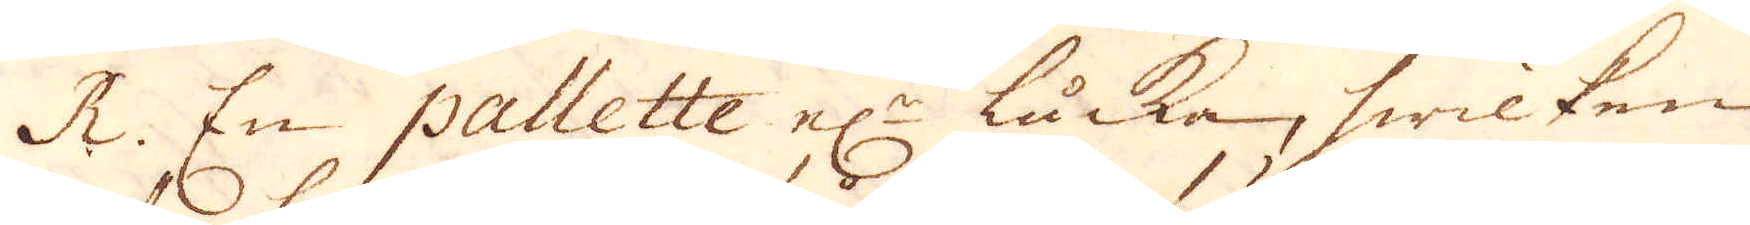R. En pallette el:n läcka, hwilken
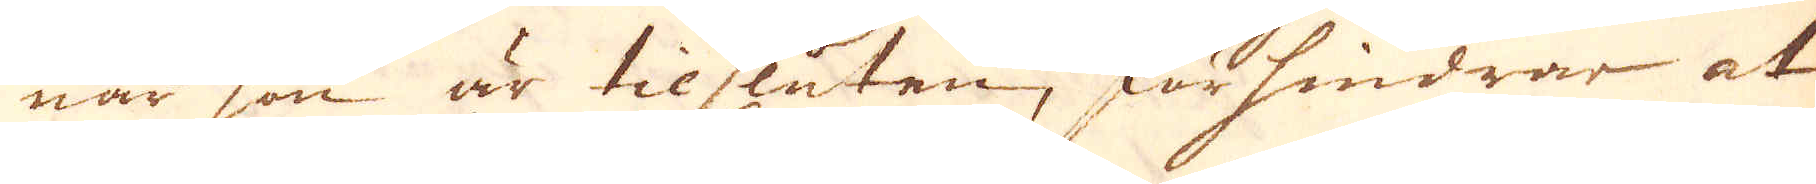när han är tilsluten, förhindrar at
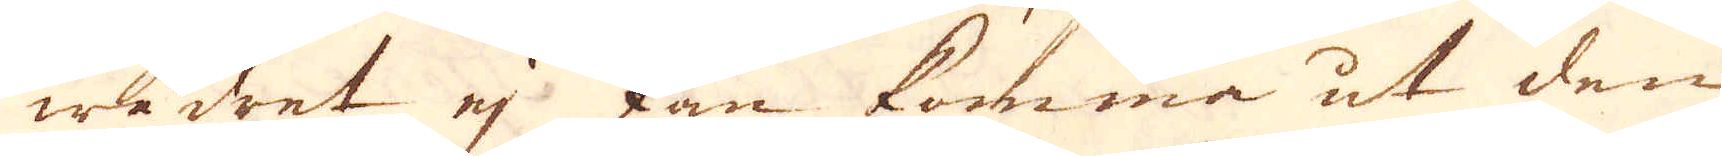wädret ej kan komma ut den
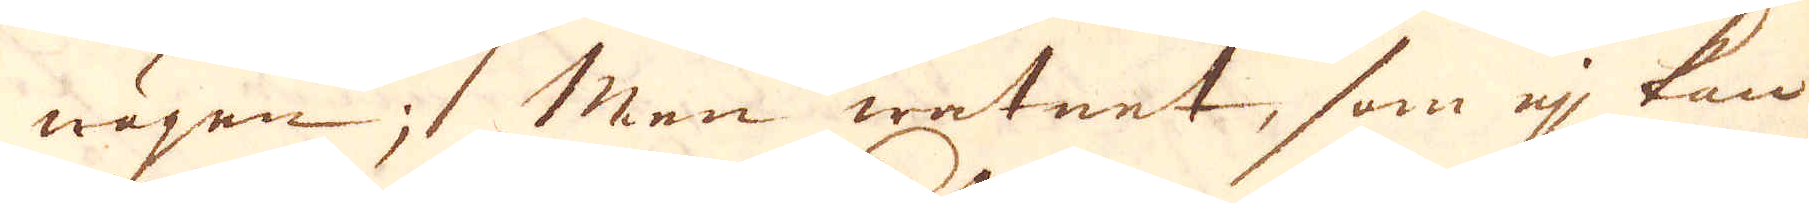wägen; Men watnet, som ej kan
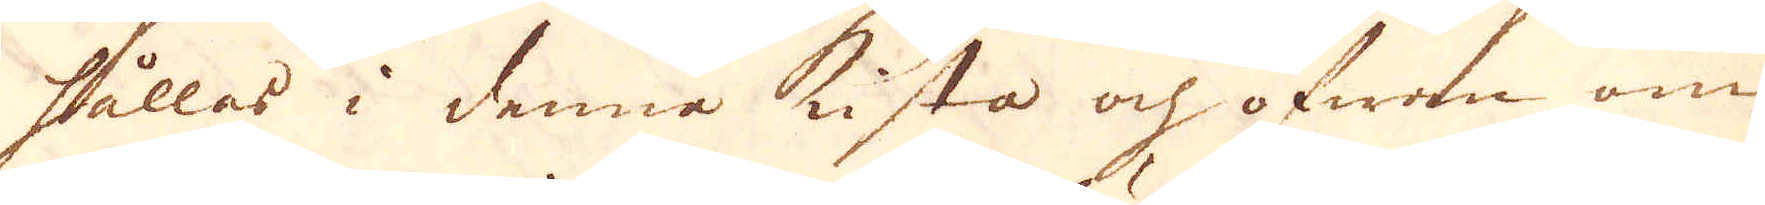hållas i denna kista och ofwan om
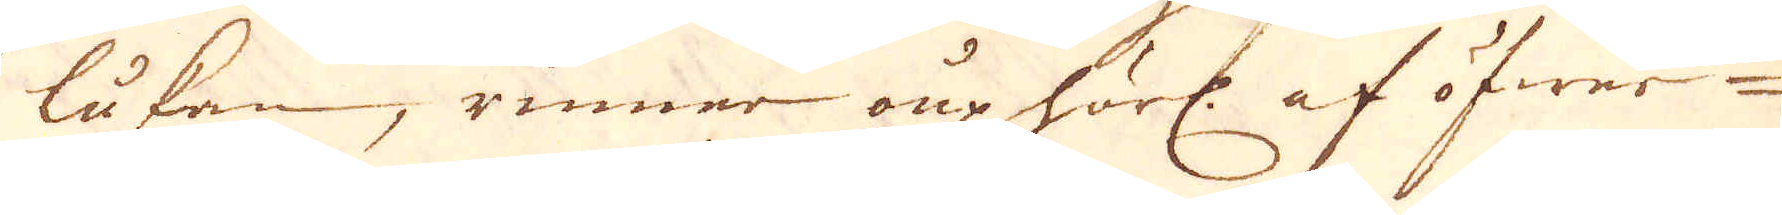lukan, rinner puphörl: af öfwer
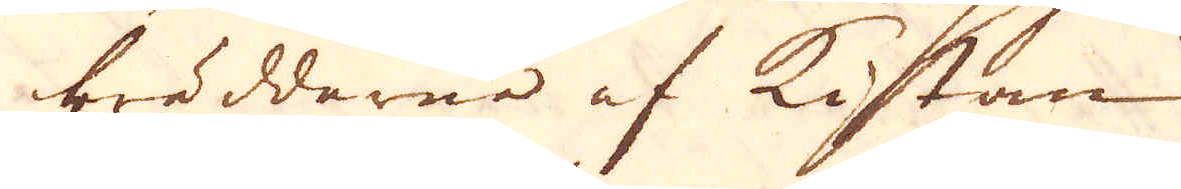brädderna af kistan.
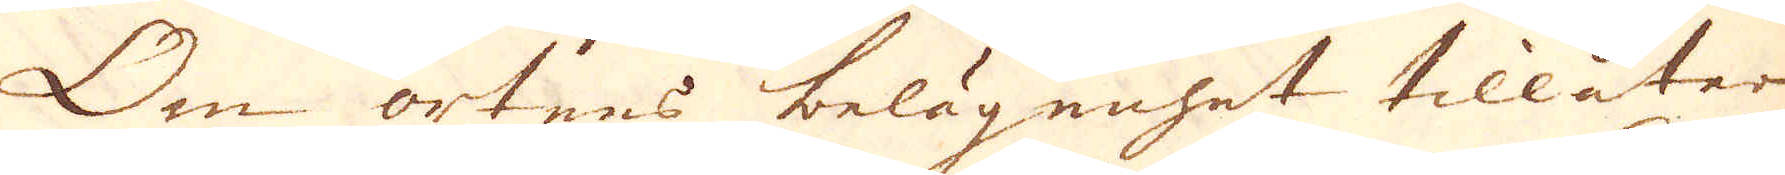Om ortens belägenhet tillåter
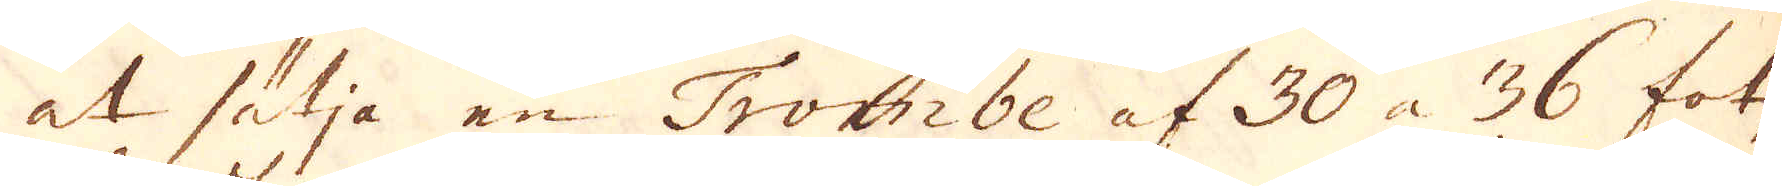at sätja en Trombe af 30 à 36 fot
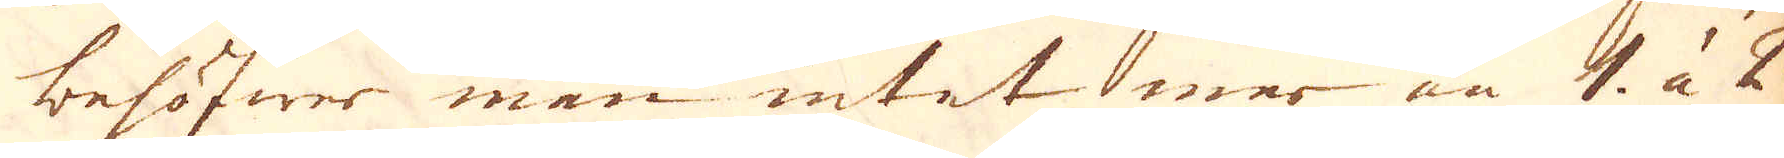behöfwer man intet mer än 1 à 2
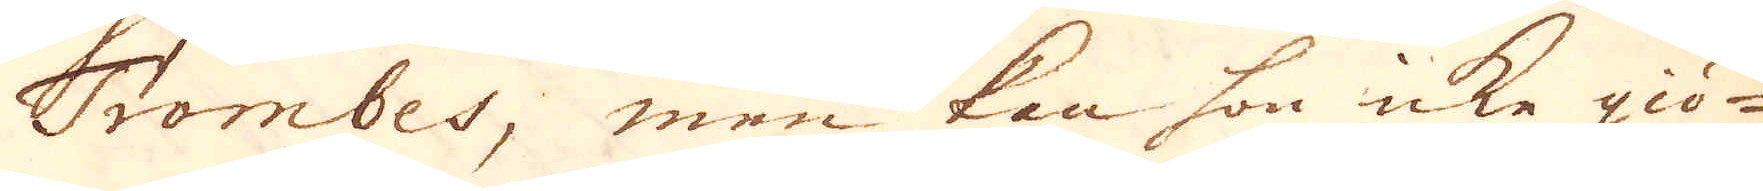Trombes, men kan hon icke giö-
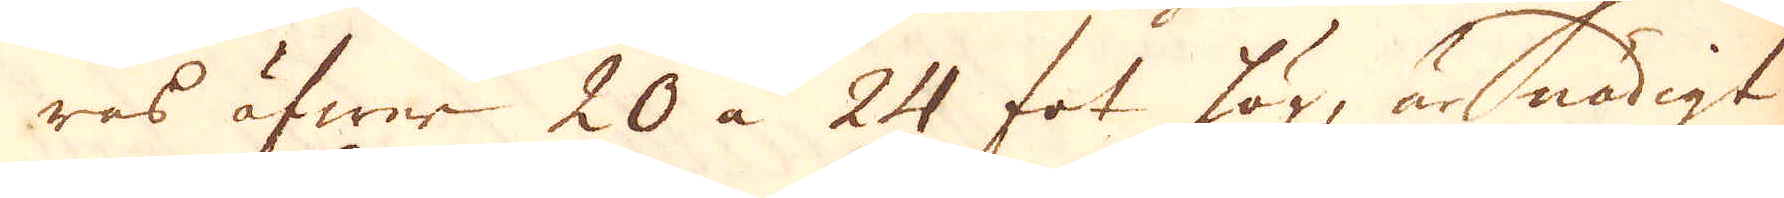ras öfwer 20 à 24 fot hög, är nödigt
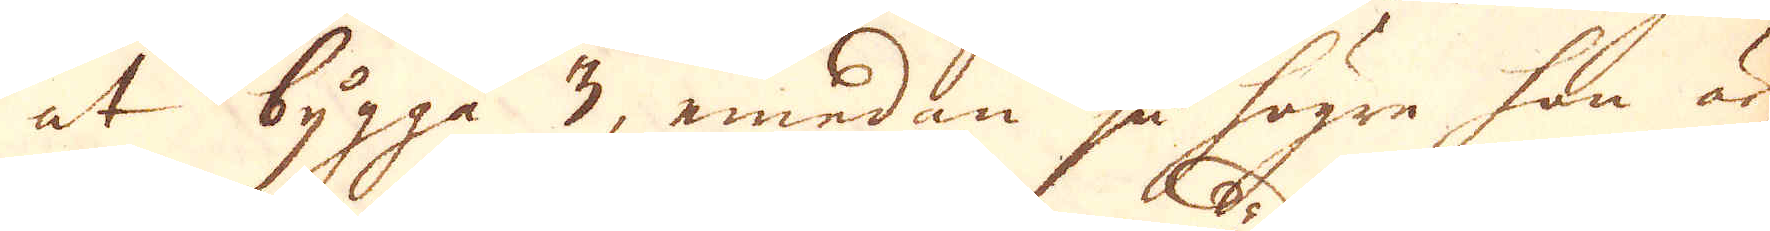at bygga 3, emedan ju högre han är,
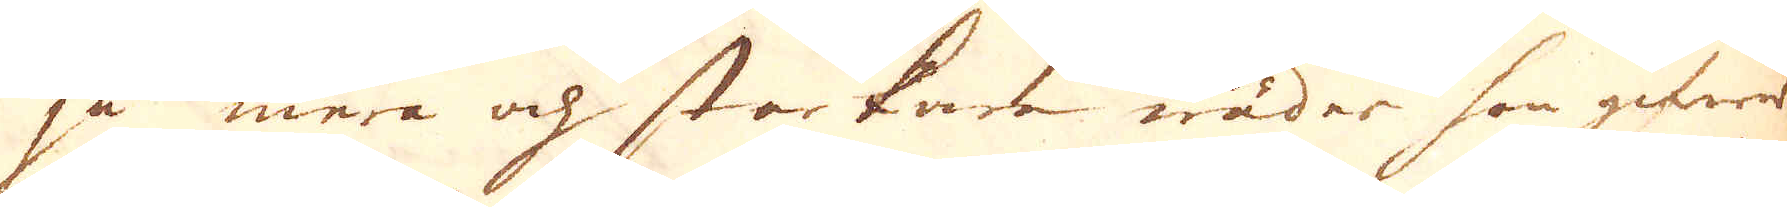ju mera och starkare wäder han gitwer
